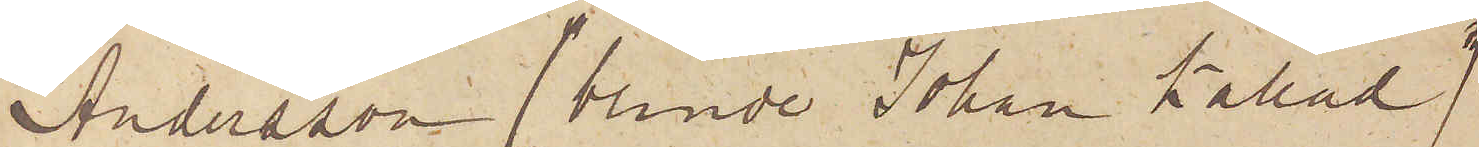Andersson (blinde Johan kallad)
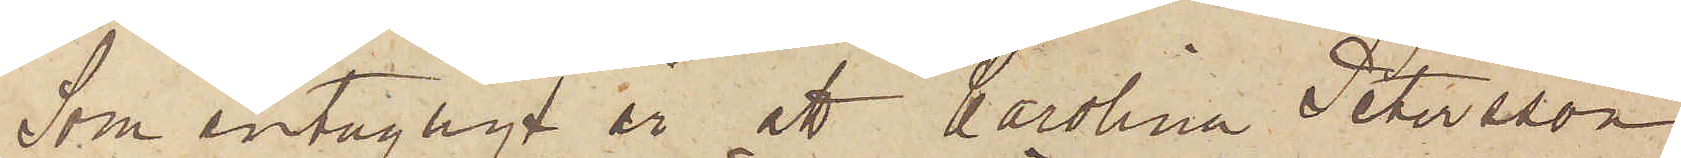Som antagligt är att Karolina Petersson
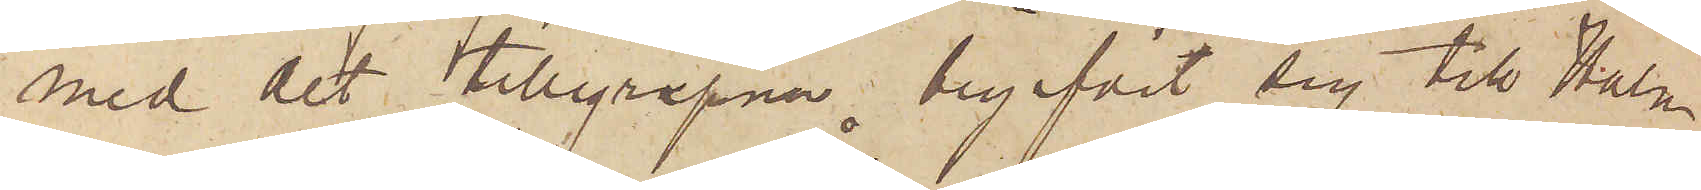med det tillgripna begifvit sig till Halm¬
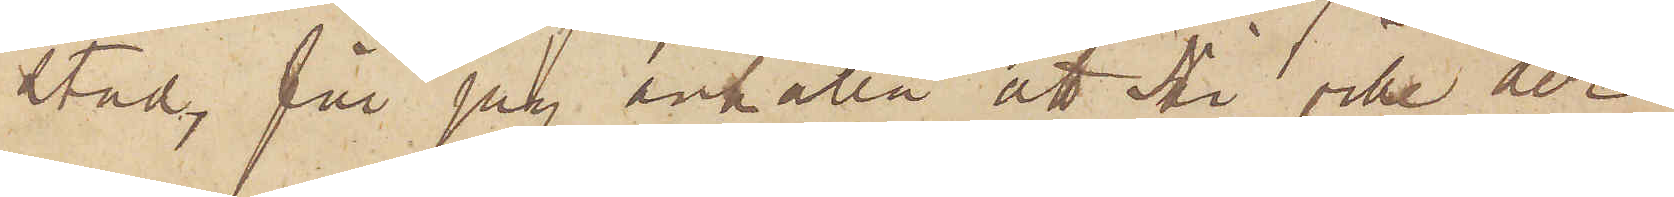stad, får jag anhålla att Ni ville der
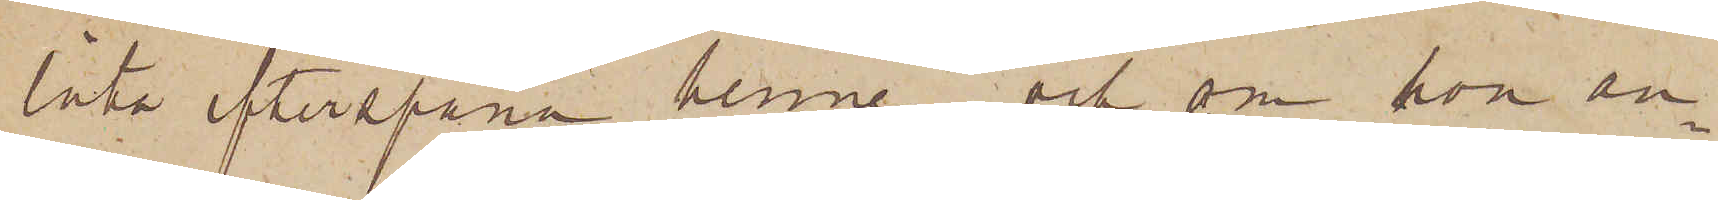låta efterspana henne och, om hon an¬
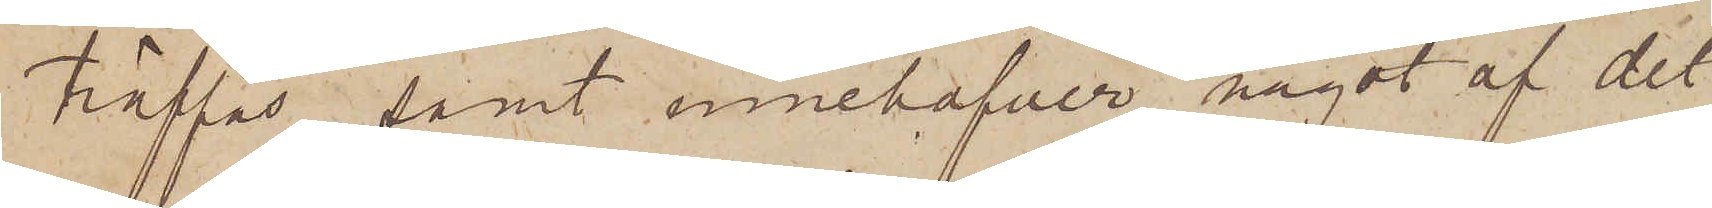träffas, samt innehafver något af det
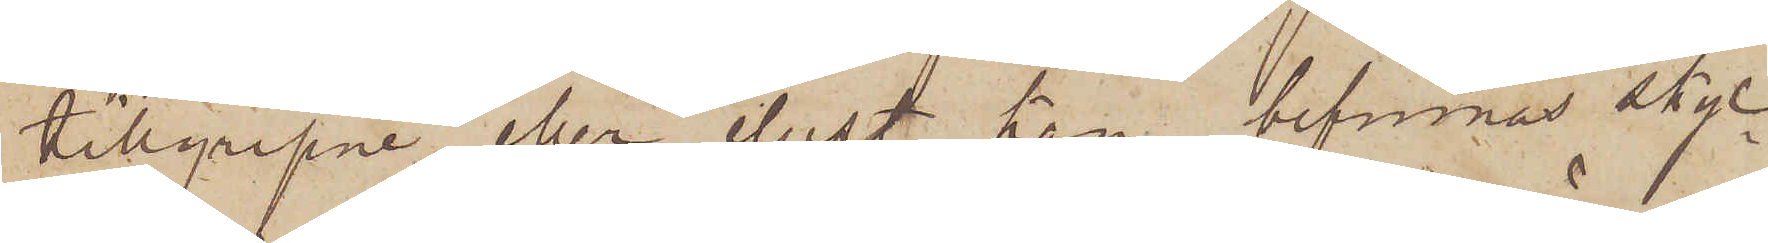tillgripne eller eljest kan befinnas skyl¬
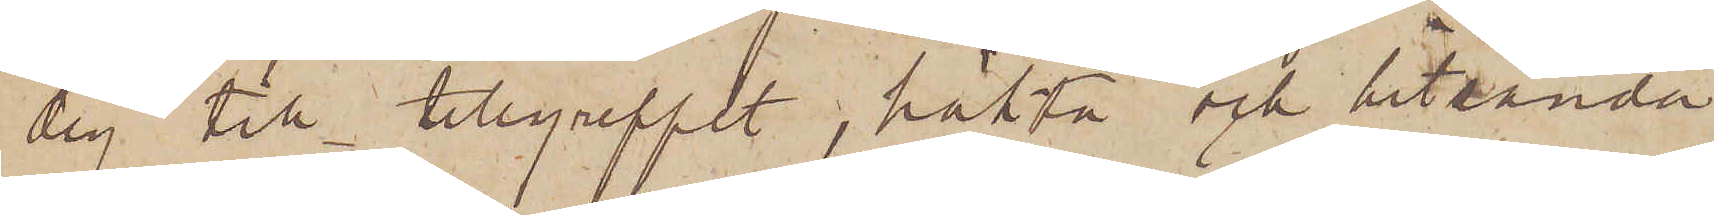dig till tillgreppet, häkta och hitsända
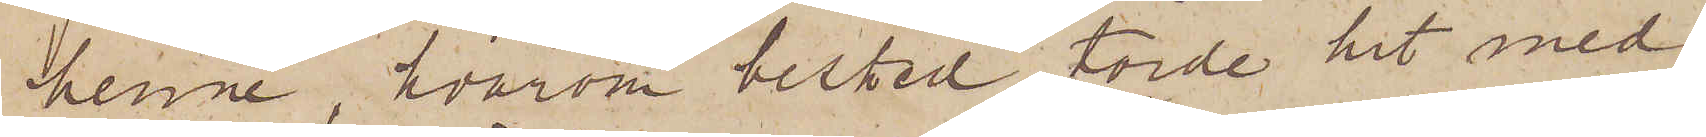henne, hvarom besked torde hit med¬
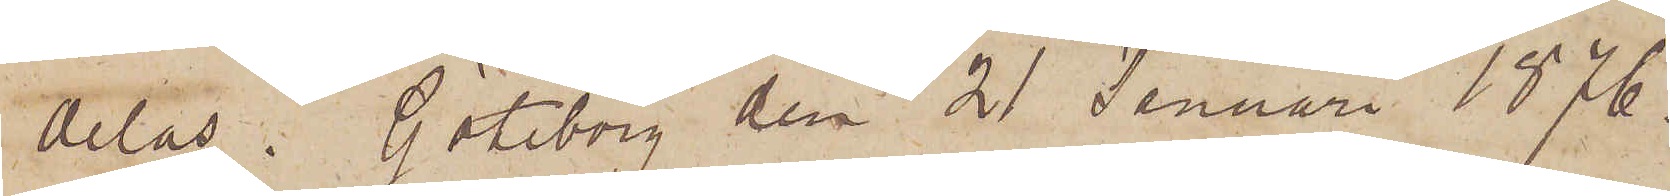delas. Göteborg den 21 Januari 1876.
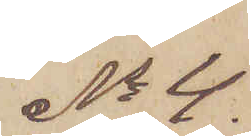No 4.
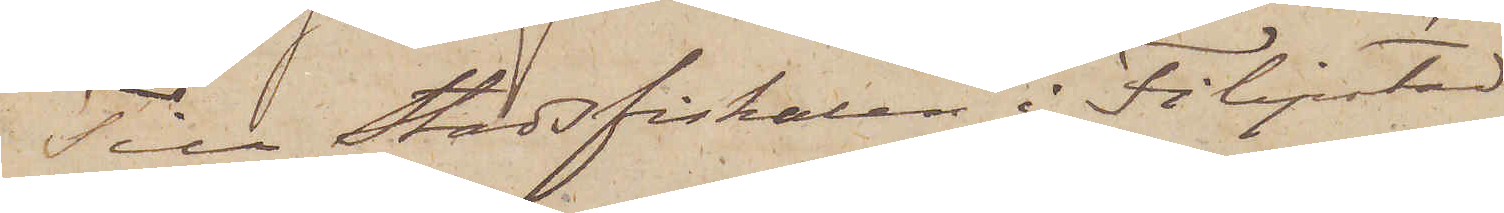Till Stadsfiskalen i Filipstad
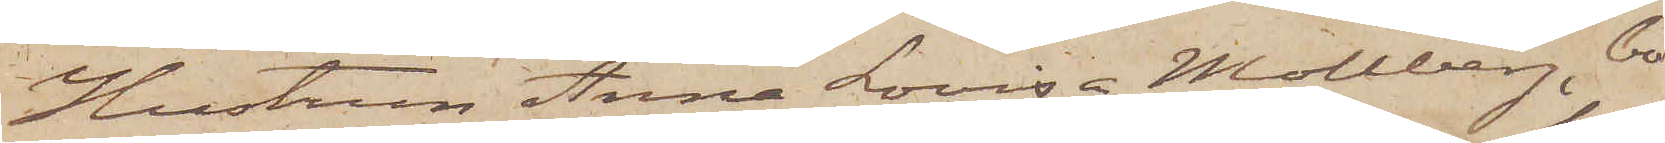Hustrun Anna Lovisa Mollberg, bo¬
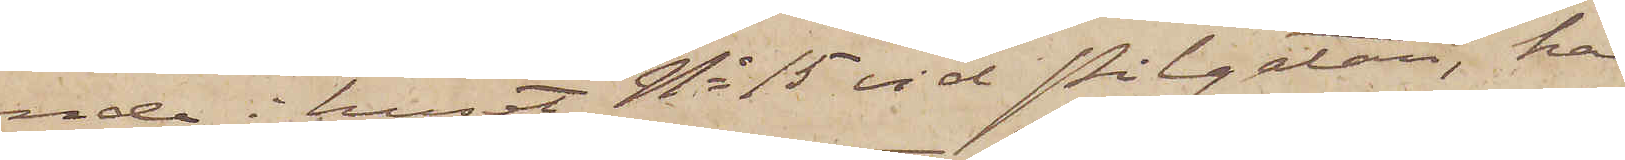ende i huset No 15 vid Pilgatan, har
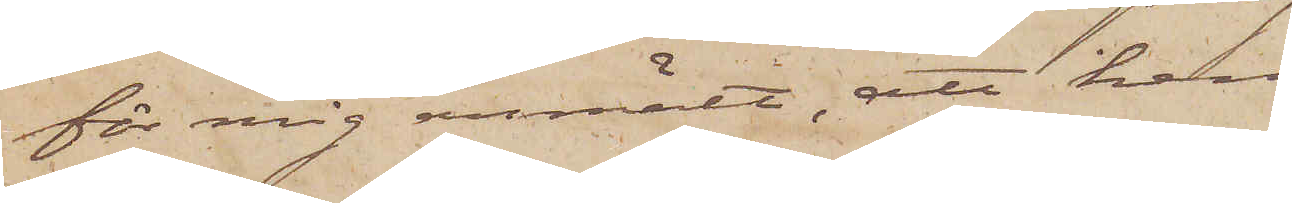för mig anmält, att hennes man
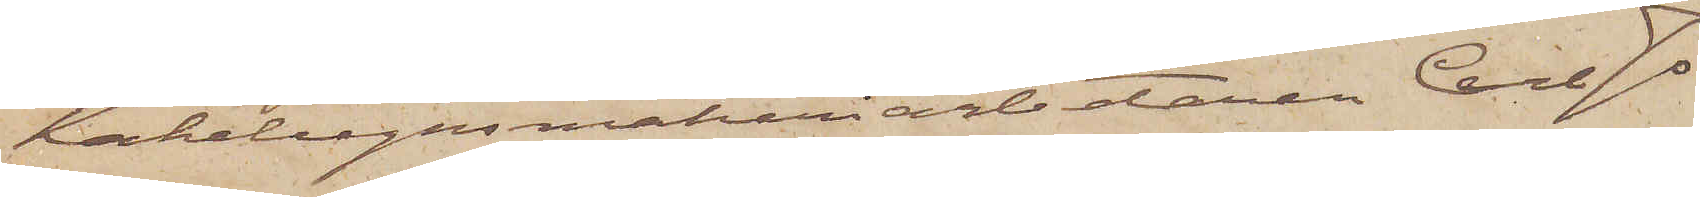Kakelugnsmakeriarbetaren Carl Jo¬
